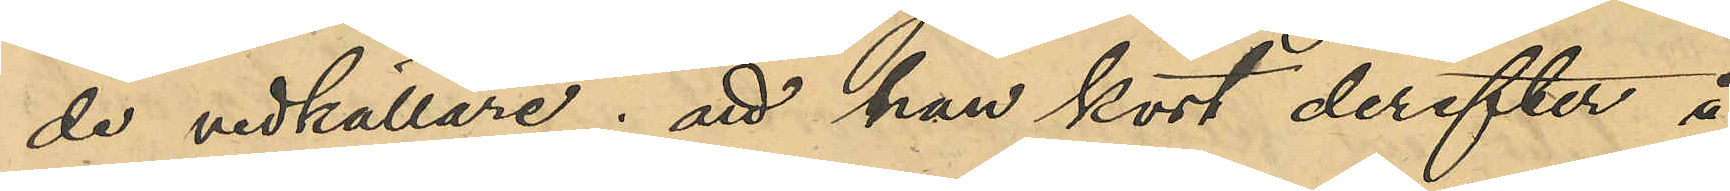de vedkällare; att han kort derefter å
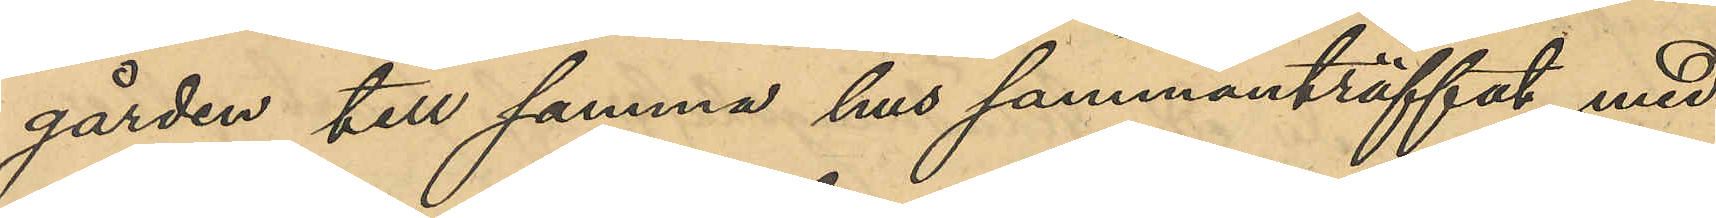gården till samma hus sammanträffat med
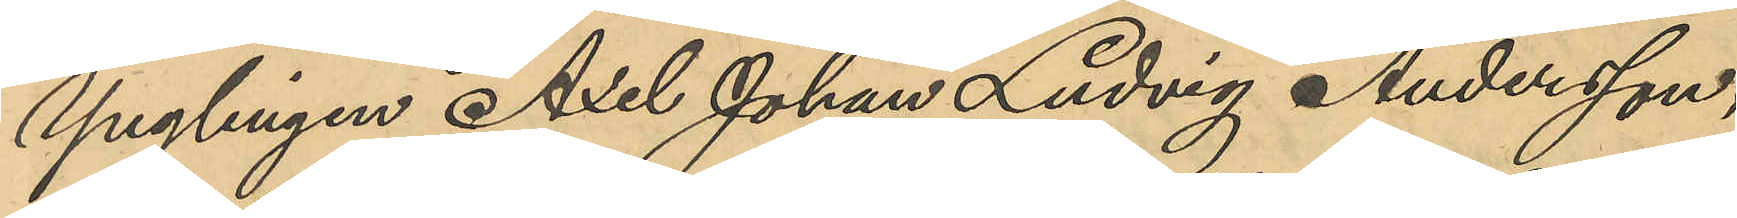Ynglingen Axel Johan Ludvig Andersson,
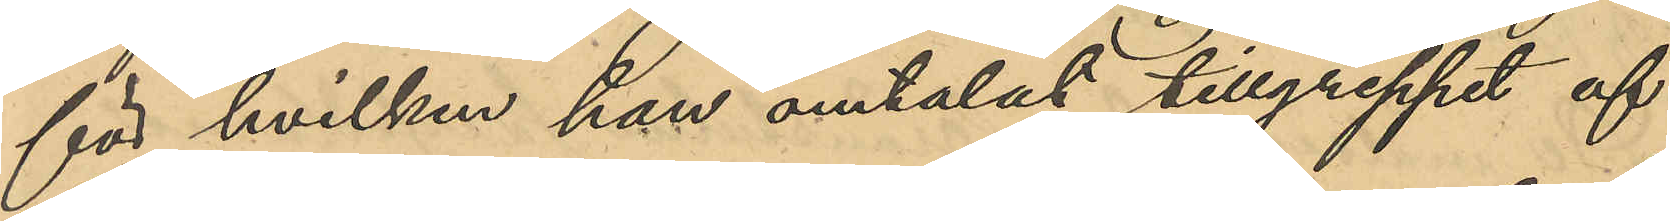för hvilken han omtalat tillgreppet af
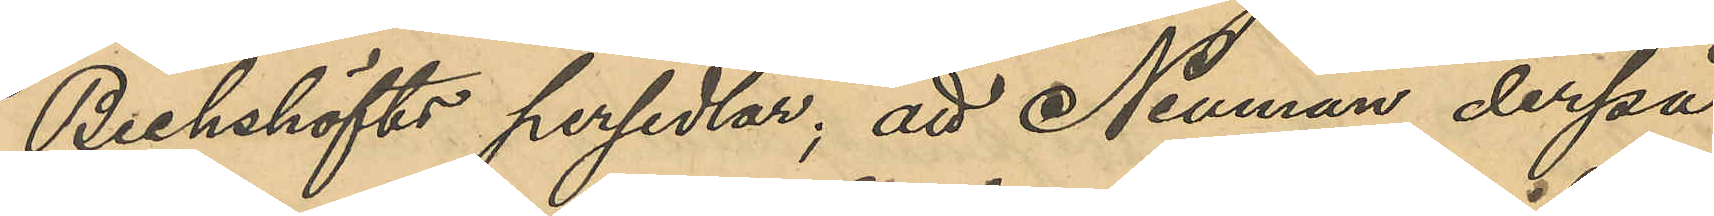Bechshöfts persedlar; att Neuman derpå
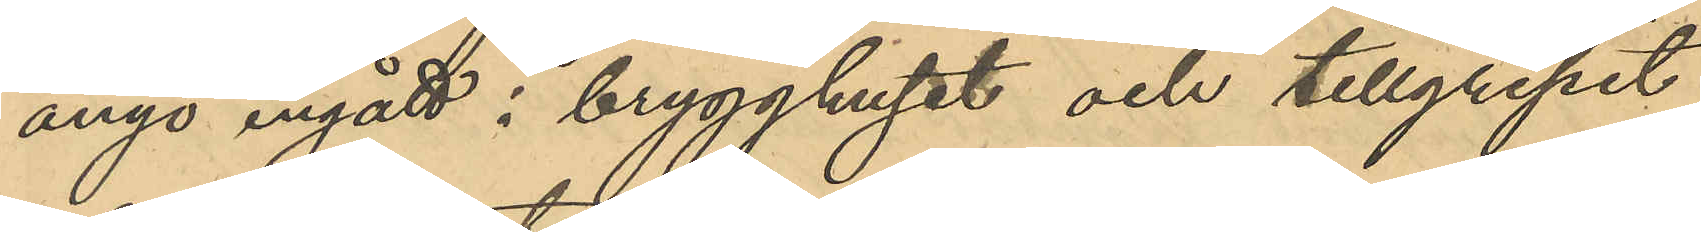ånyo ingått i brygghuset och tillgripit
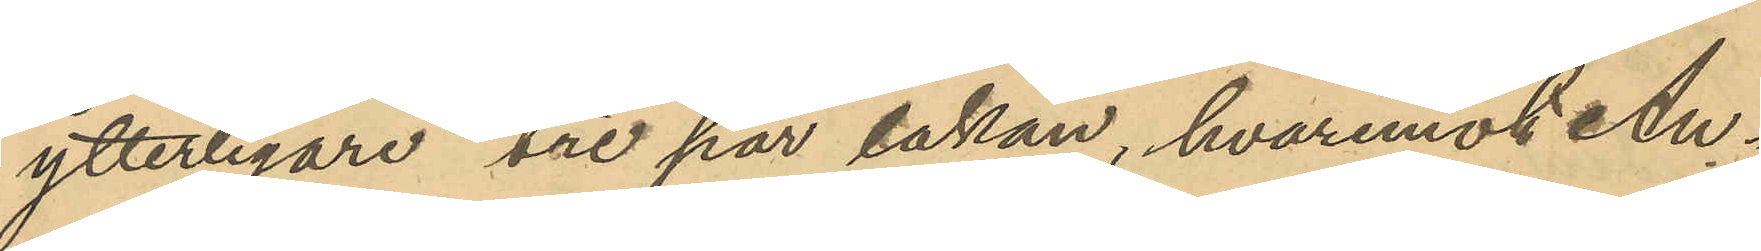ytterligare tre par lakan, hvaremot An¬
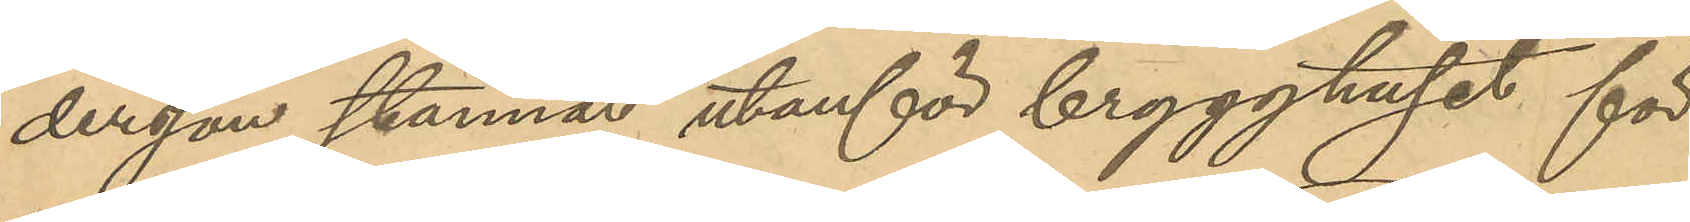dersson stannat utanför brygghuset för
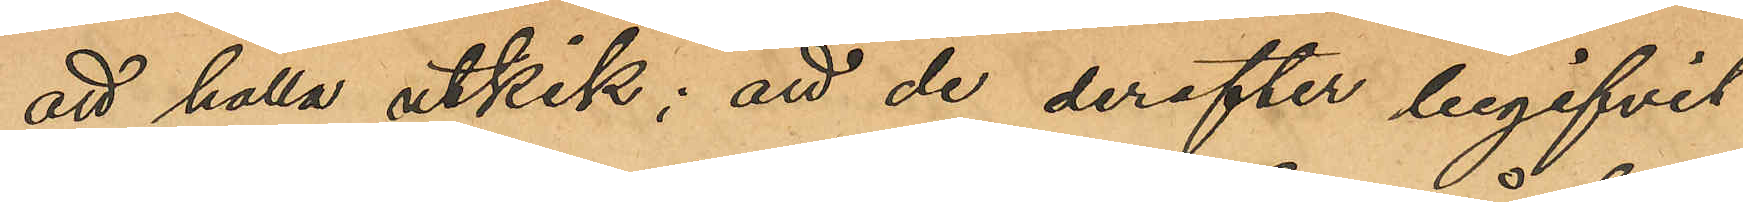att hålla utkik; att de derefter begifvit
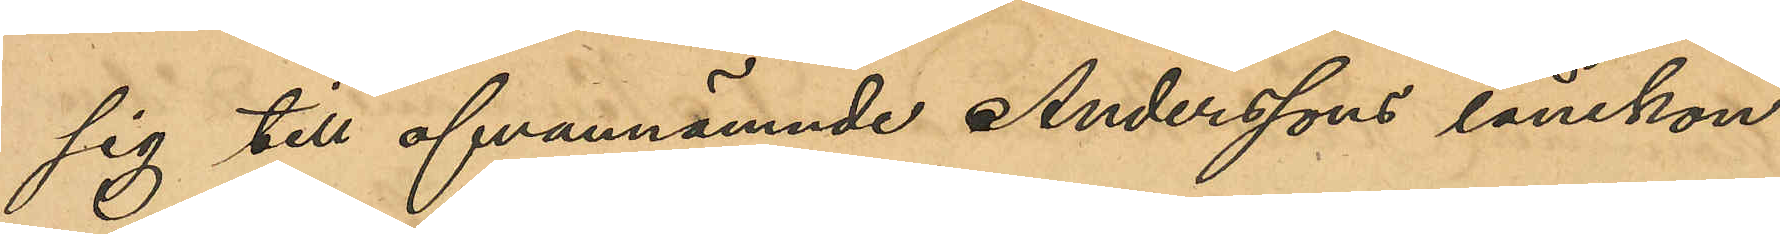sig till ofvannämnde Anderssons lånekon¬
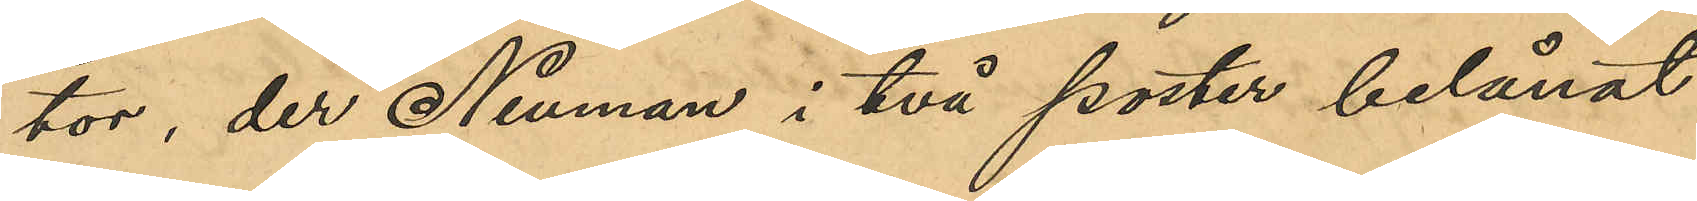tor, der Neuman i två poster belånat
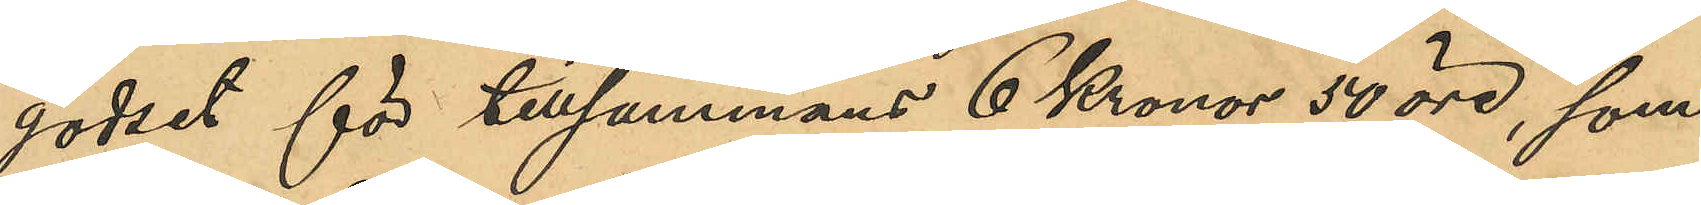godset för tillsammans 6 Kronor 50 öre, som
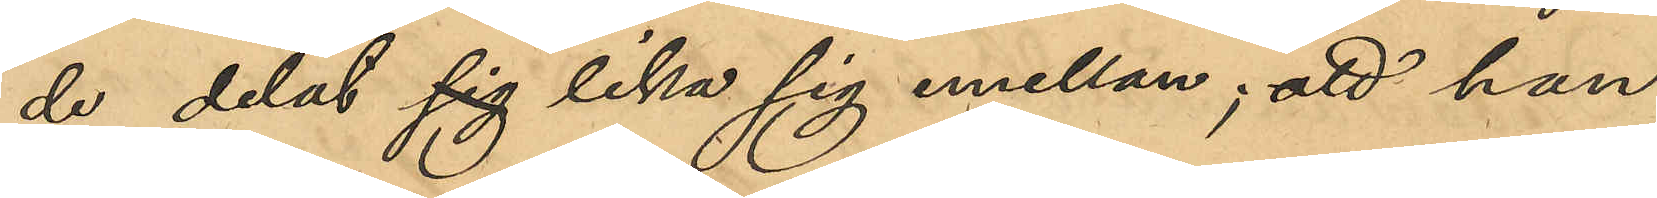de delat sig lika emellan sig; att han
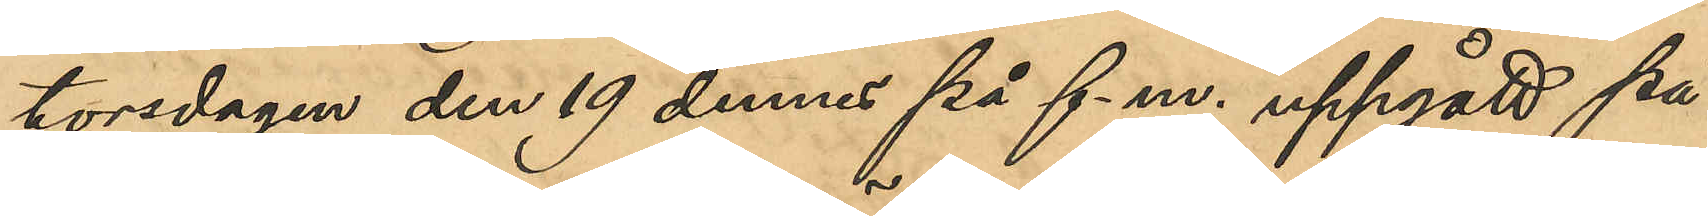torsdagen den 19 dennes på f.m. uppgått på
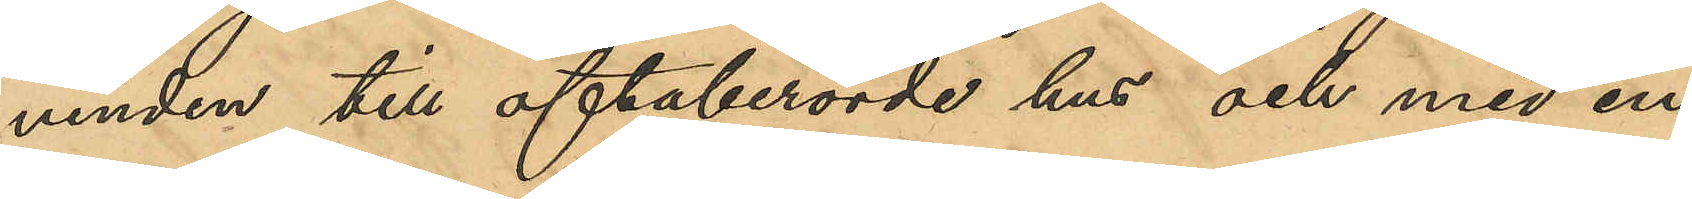vinden till oftaberörde hus och med en
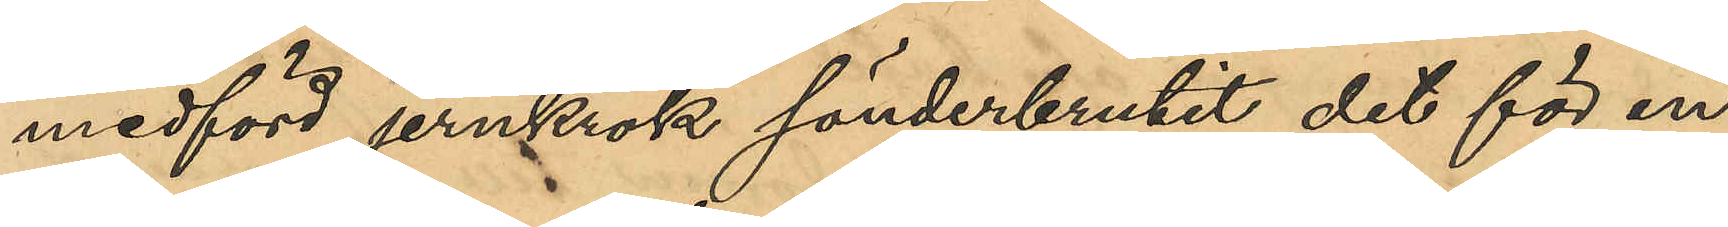medförd jernkrok sönderbrutit det för en
